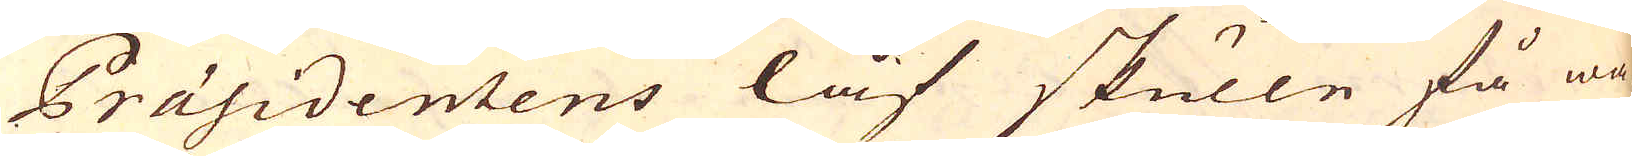Präsidentens låf skulle få wa-
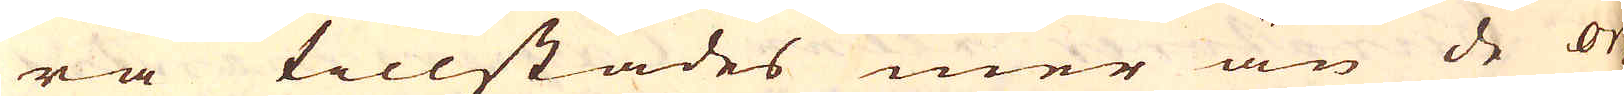ra tillstädes mer än de or-
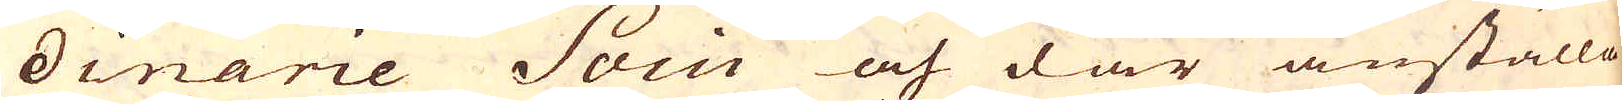dinarie Socii och där anställa
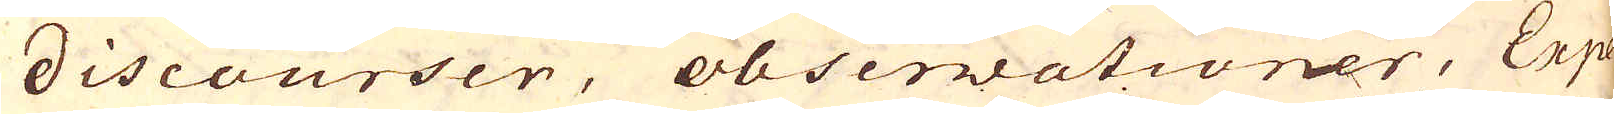discourser, observationer, Expe-
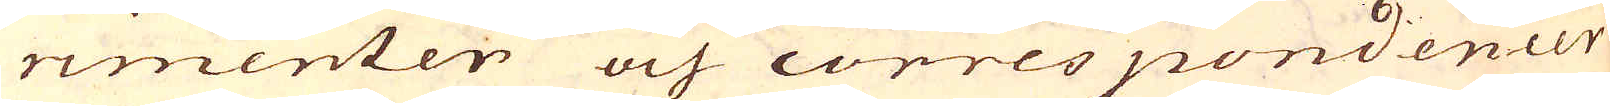rimenter och correspondencer
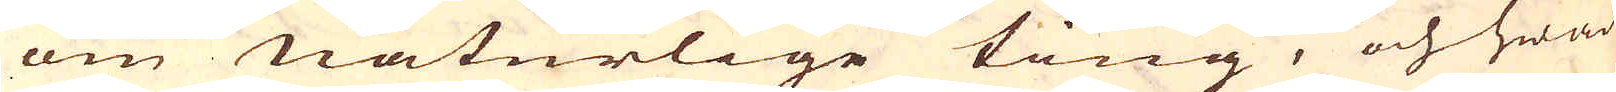om naturlige ting, och hwad
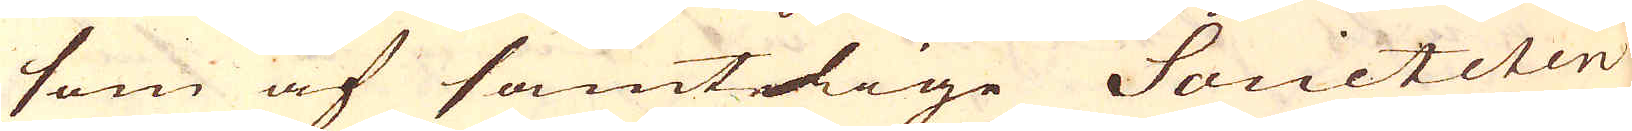som af samtelige Societeten
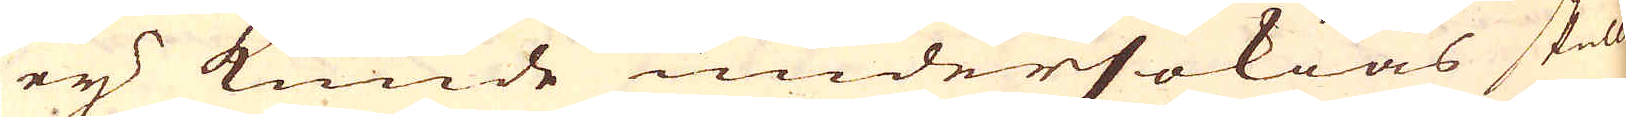ey kunde undersökias skulle
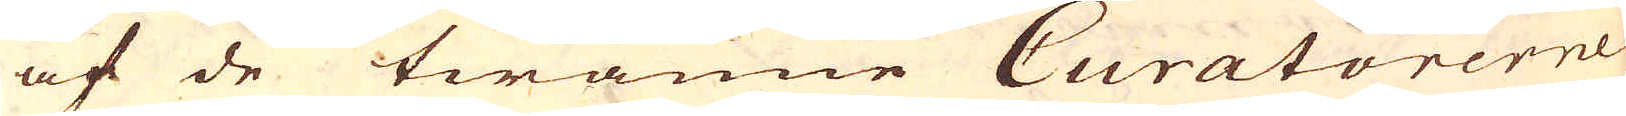af de twänne Curatorerne
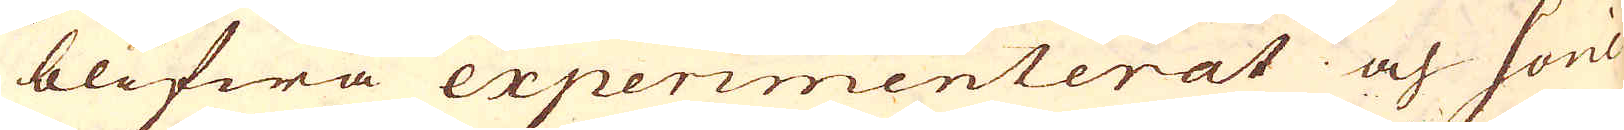blifwa experimenterat och Socie-
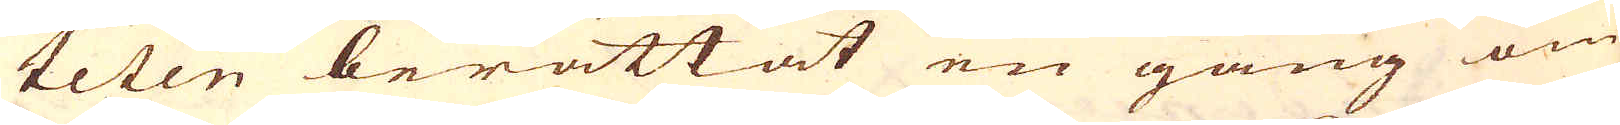teten berättat en gång om
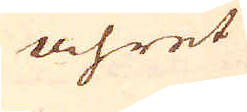åhret
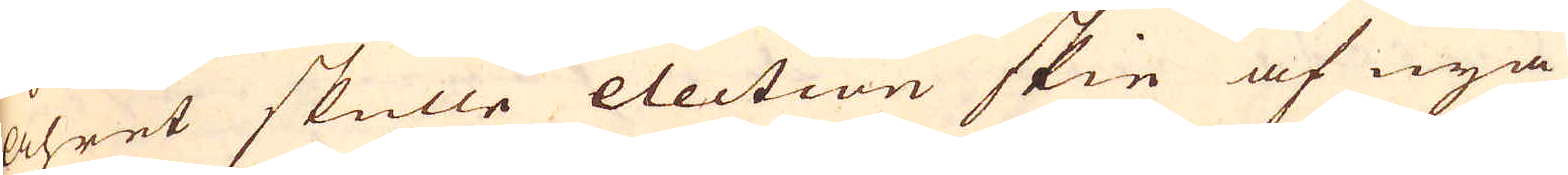åhret skulle election skie af nya
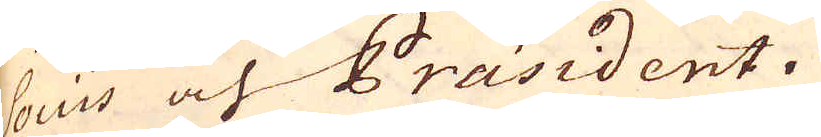Sociis och Präsident.
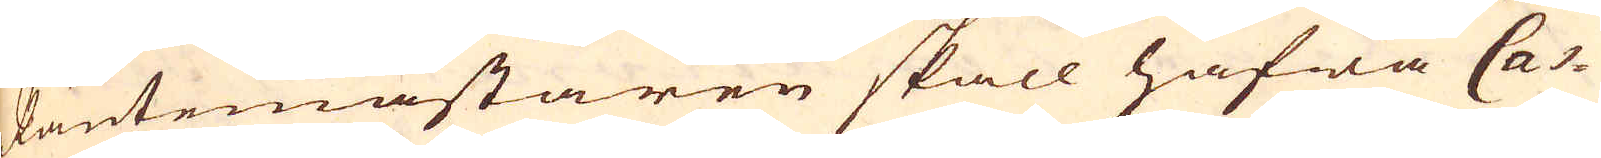Räntemästaren skall hafwa Cas-
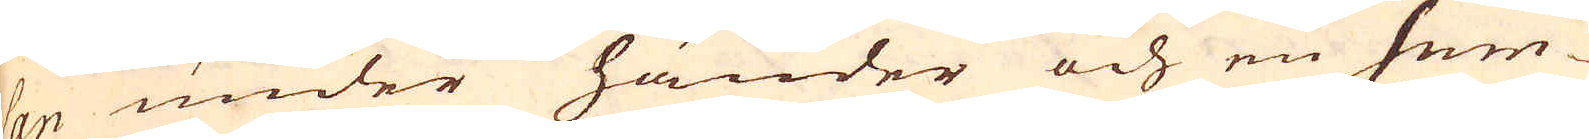san under händer och en sum-
